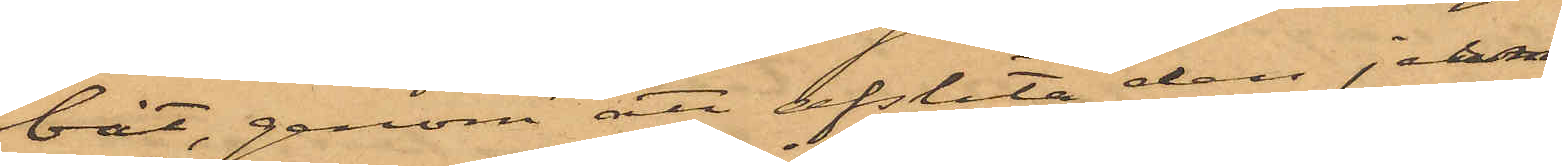båt, genom att afslita den jern¬
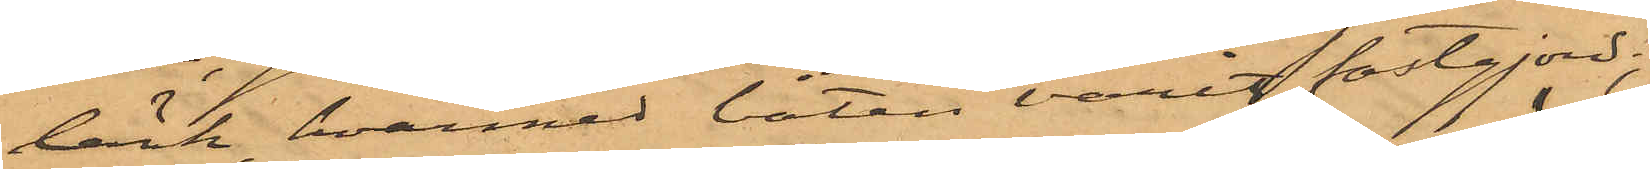länk, hvarmed båten varit fastgjord,
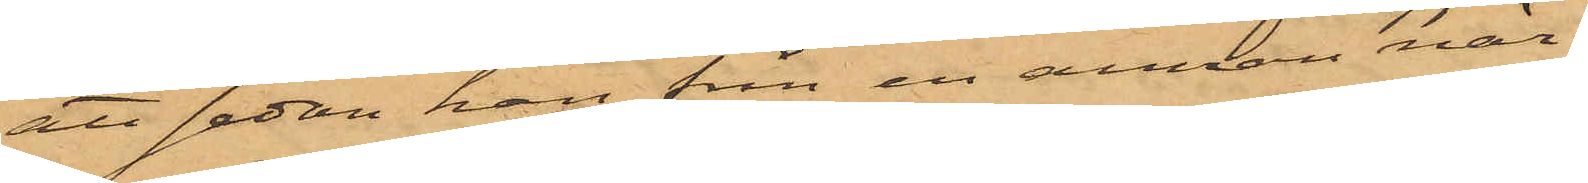att sedan han från en annan när¬
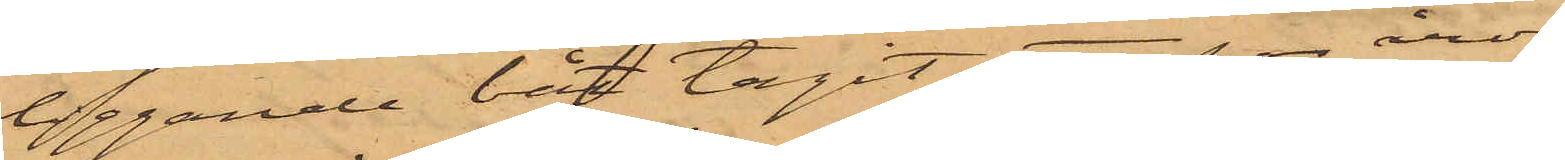liggande båt tagit ett par åror
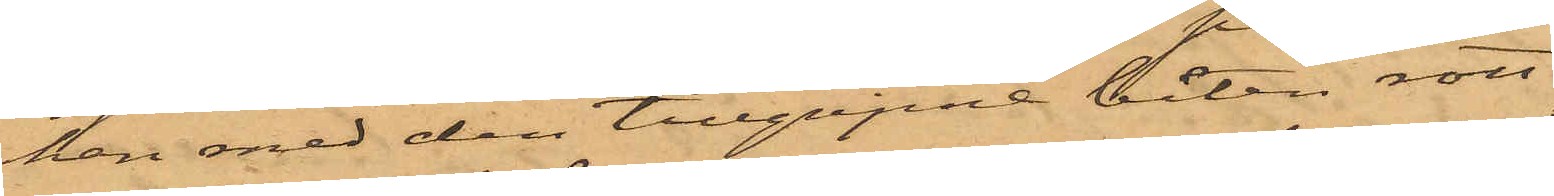han med den tillgripne båten rott
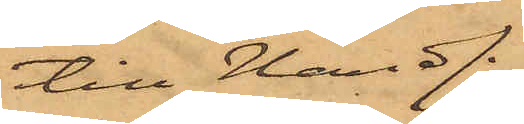till Handl.
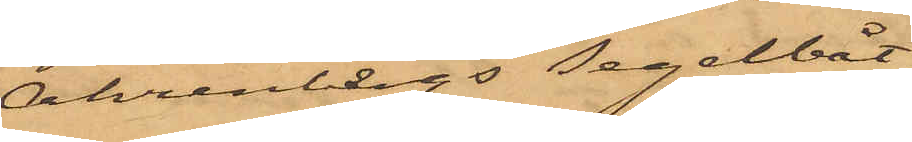Ahrenbergs segelbåt,
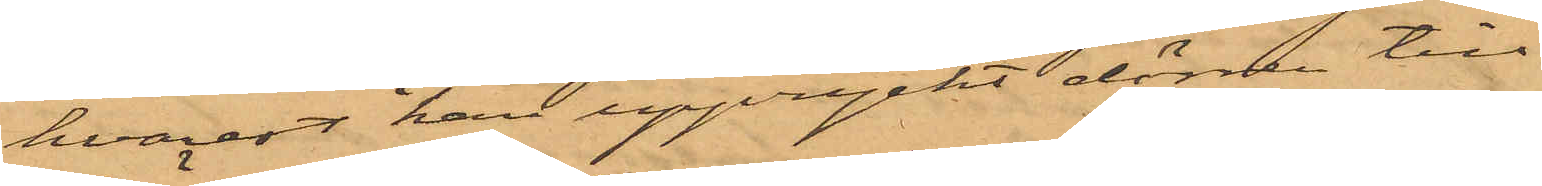hvarest han uppryckt dörren till
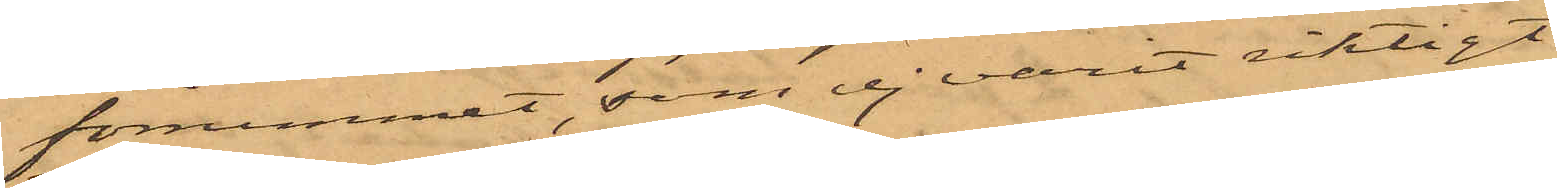förrummet, som ej varit riktigt
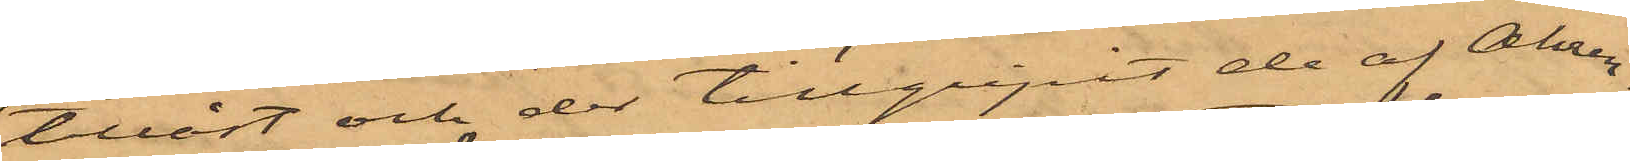tillåst och der tillgripit de af Ahren¬
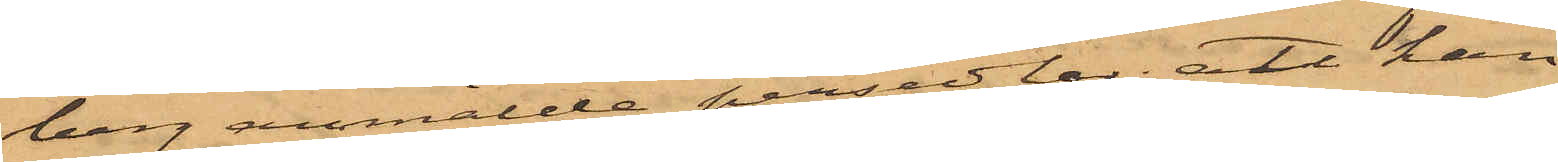berg anmälde persedlar; att han
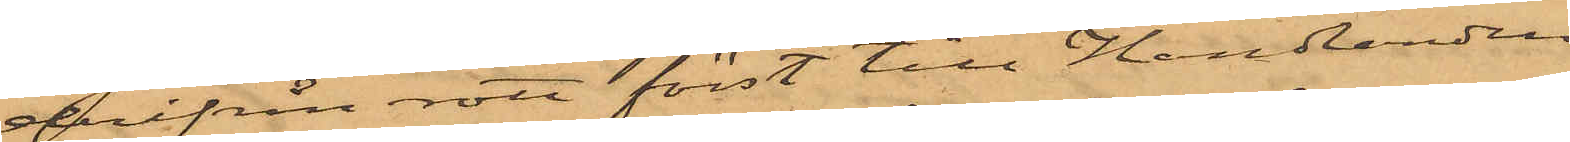derifrån rott först till Handlanden
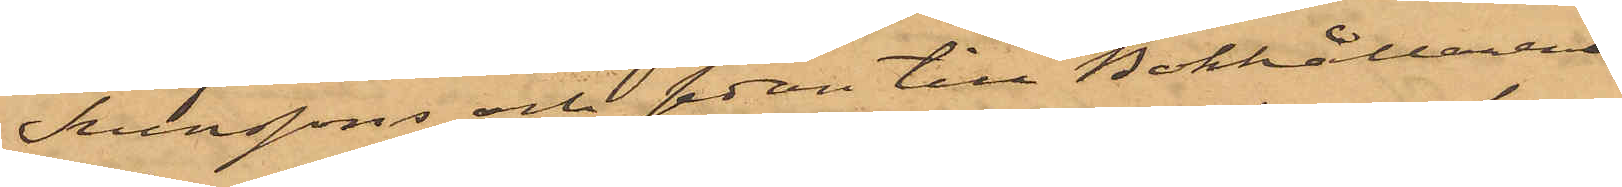Svenssons och sedan till Bokhållaren
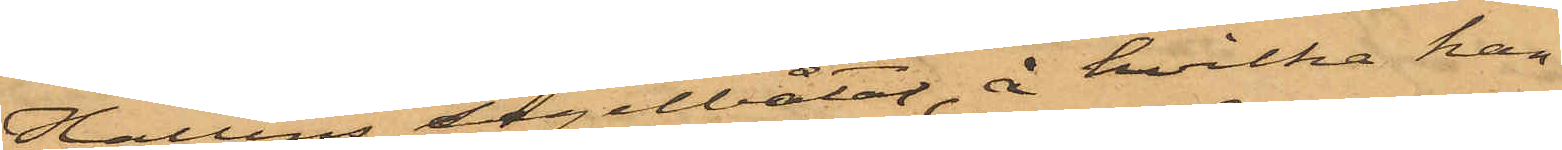Hallins segelbåtar, å hvilka han
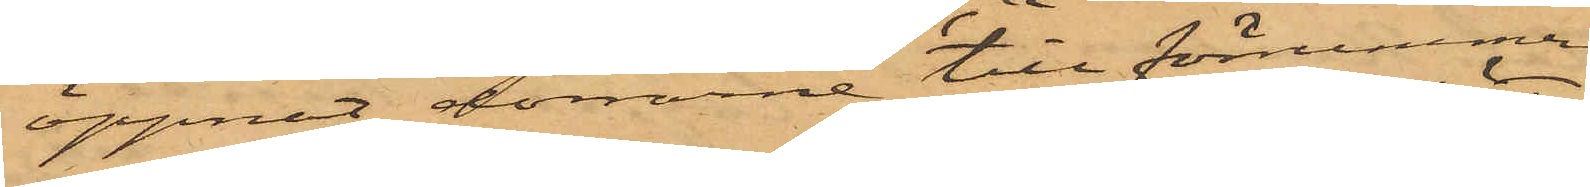öppnat dörrarne till förrummen
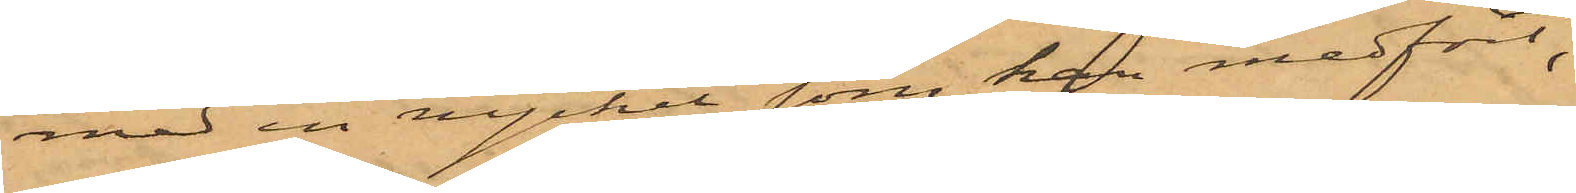med en nyckel, som han medfört;
